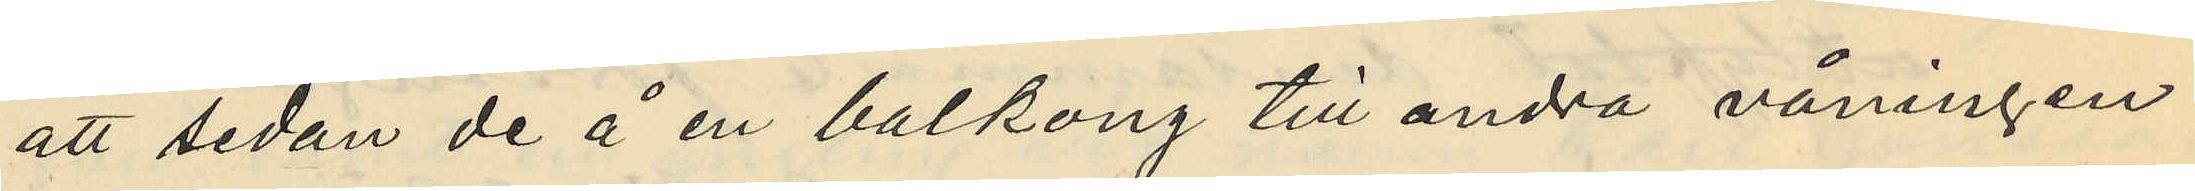att sedan de å en balkong till andra våningen
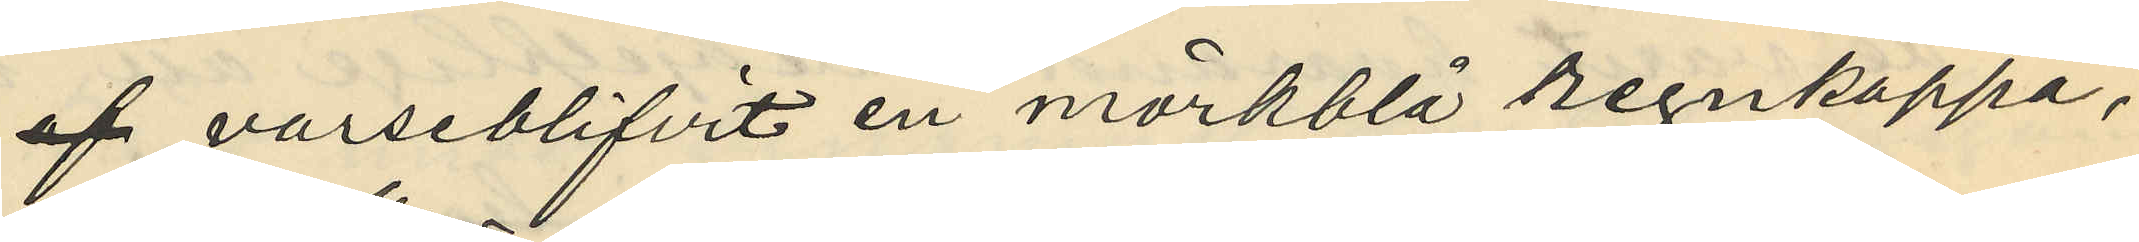 varseblifvit en mörkblå regnkappa,
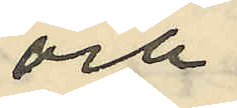och
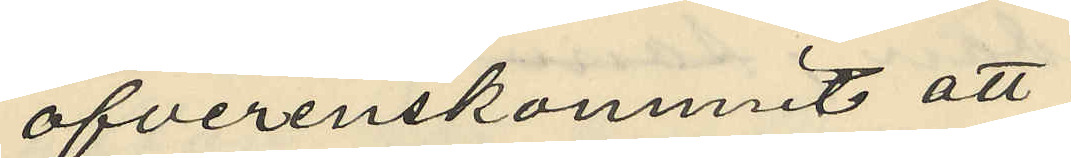öfverenskommit att
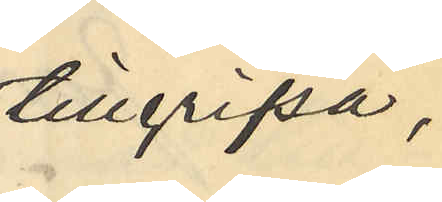tillgripa
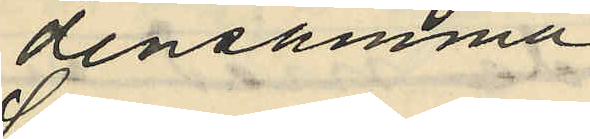densamma
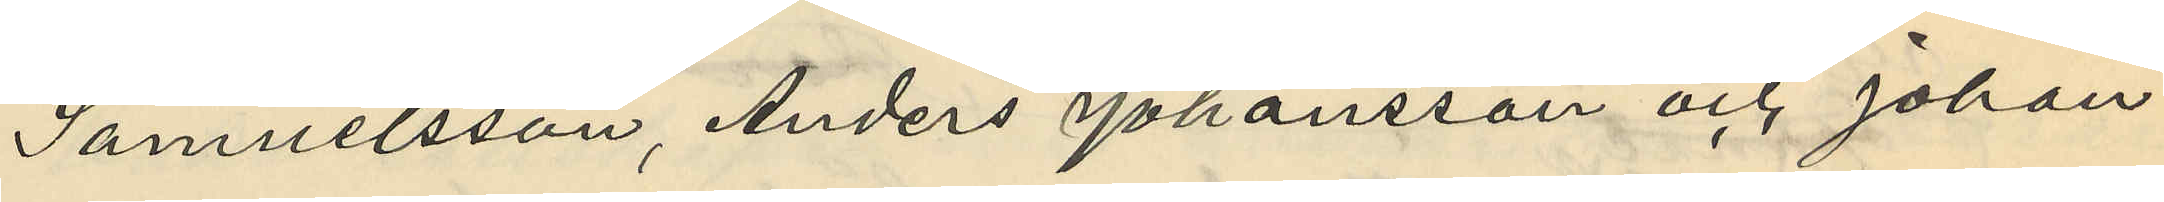Samuelsson, Anders Johansson och Johan
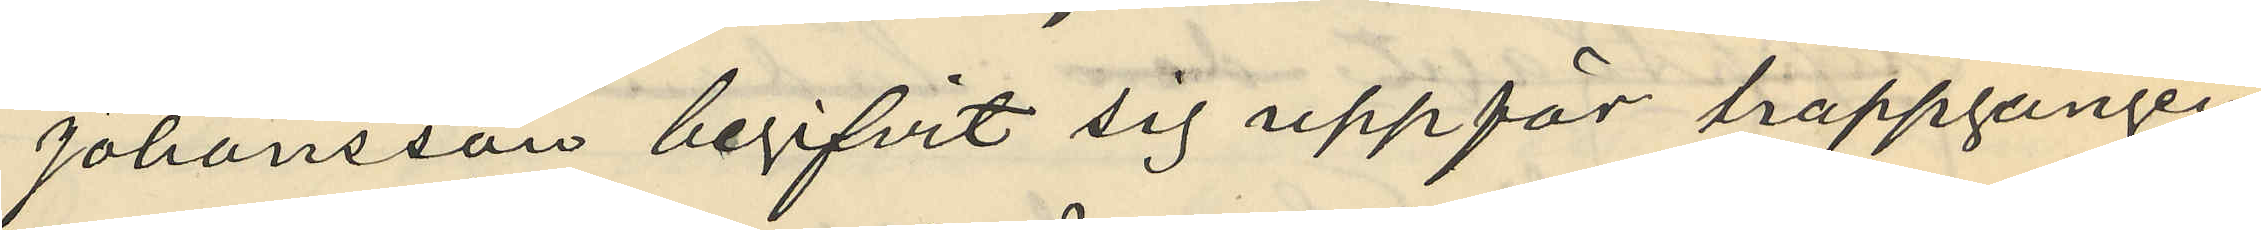Johansson begifvit sig uppför trappgången
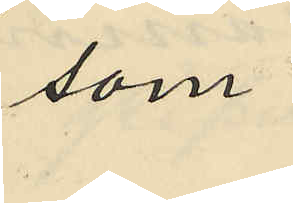som
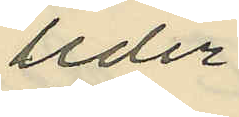leder
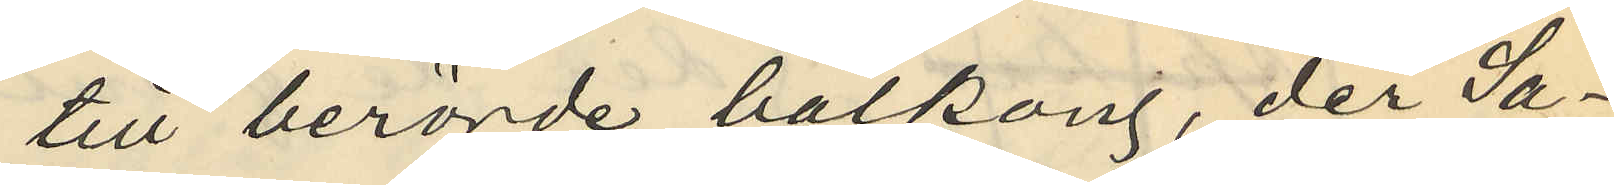till berörde balkong, der Sa¬
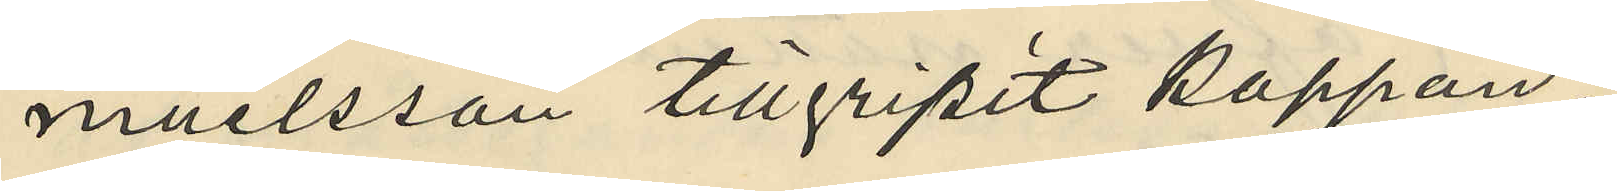muelsson tillgripit kappan.
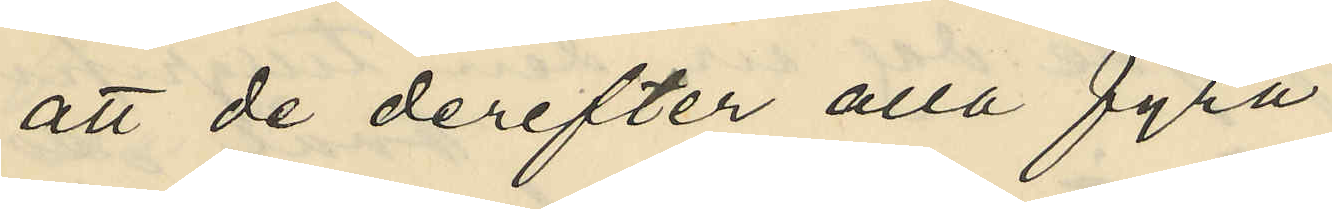att de derefter alla fyra
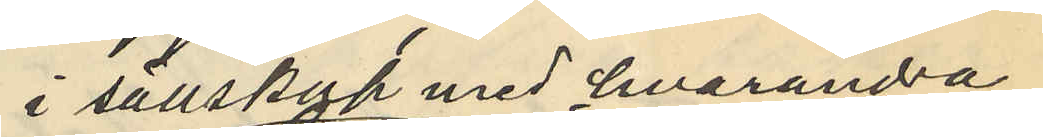i sällskap med hvarandra
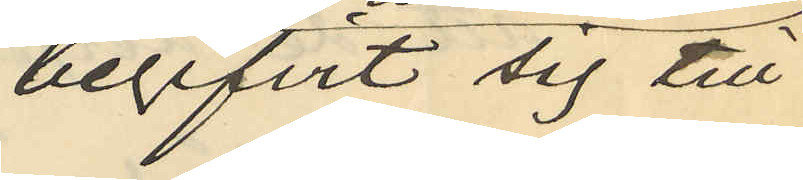begifvit sig till
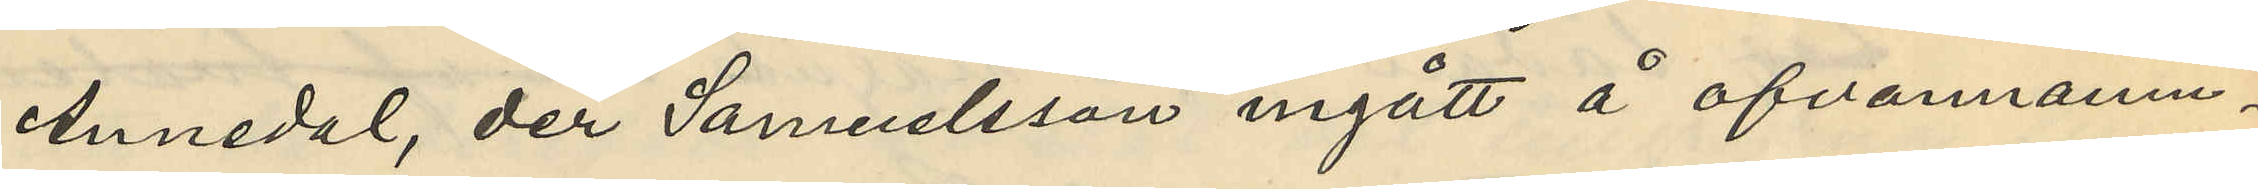Annedal, der Samuelsson ingått å ofvannämn¬
